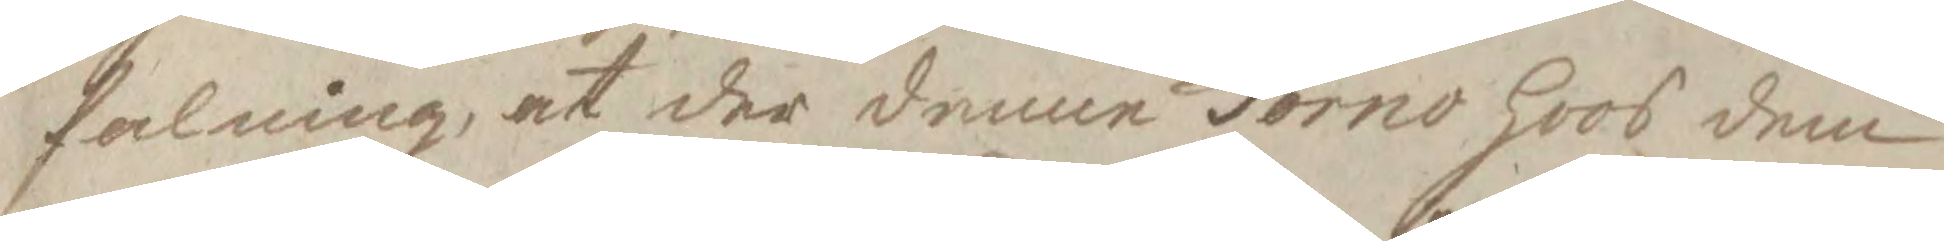falning, at der denne Torno hoos dem
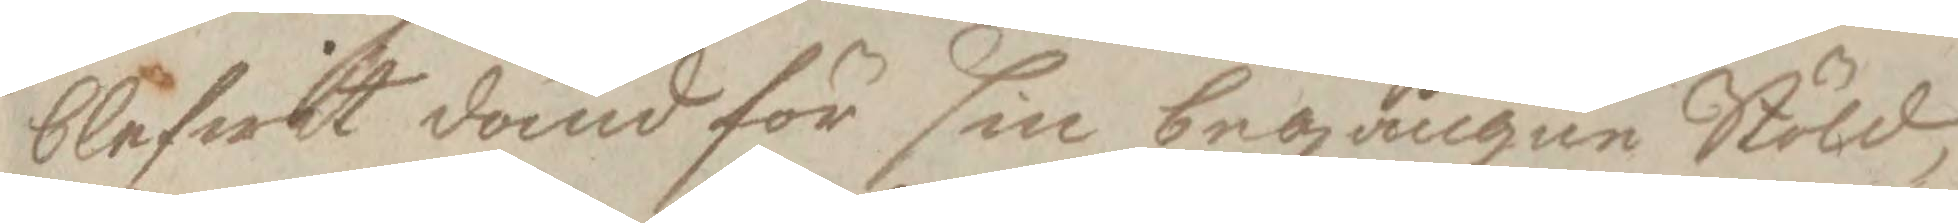blifwit dömd för sin begångne Stöld,
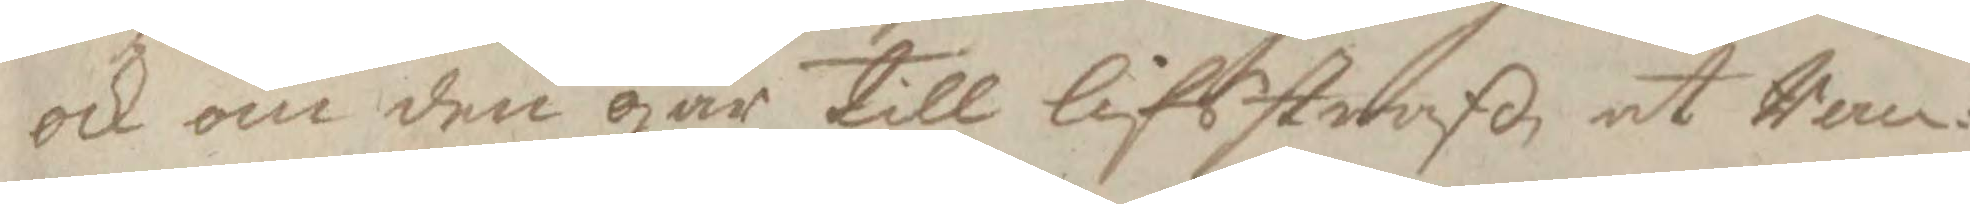och om den går till lifsstraff, at Ran¬
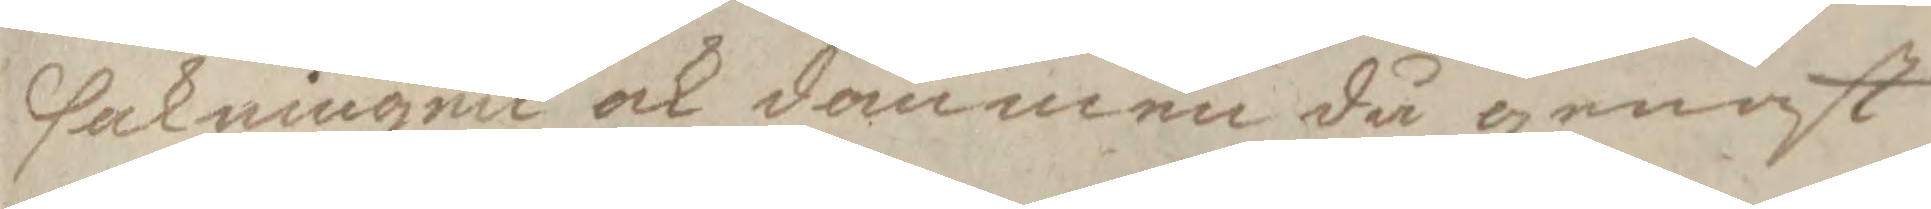sakningen ock dommen då genast
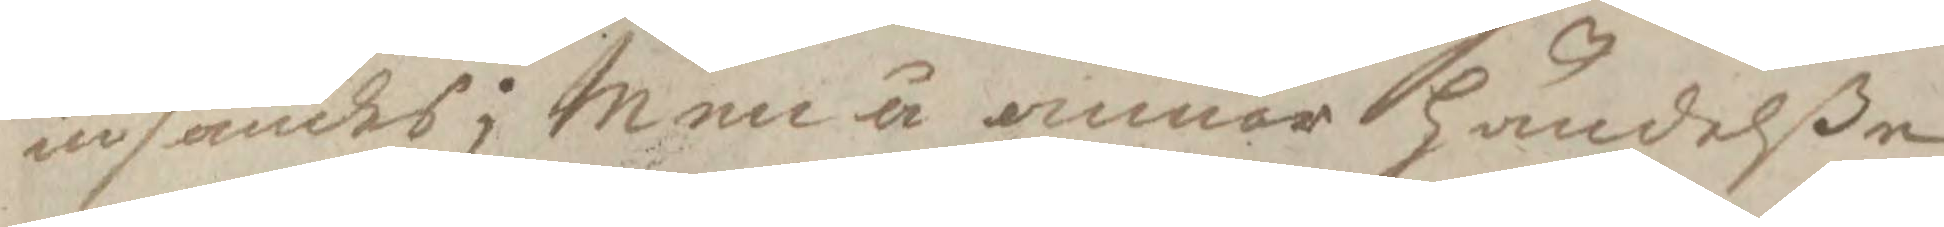insändes; Men å annor Händelße
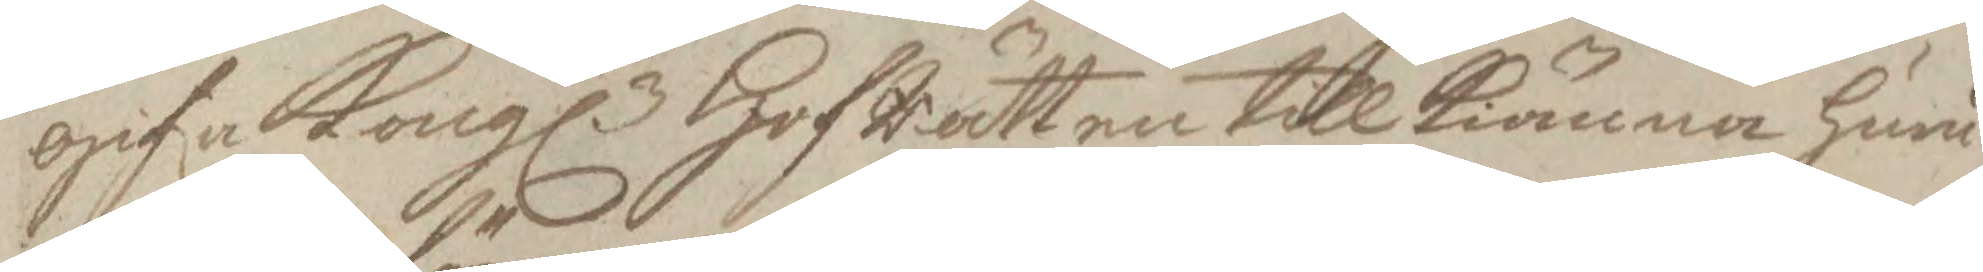gifa Kongl. HofRätten till Kiänna huru
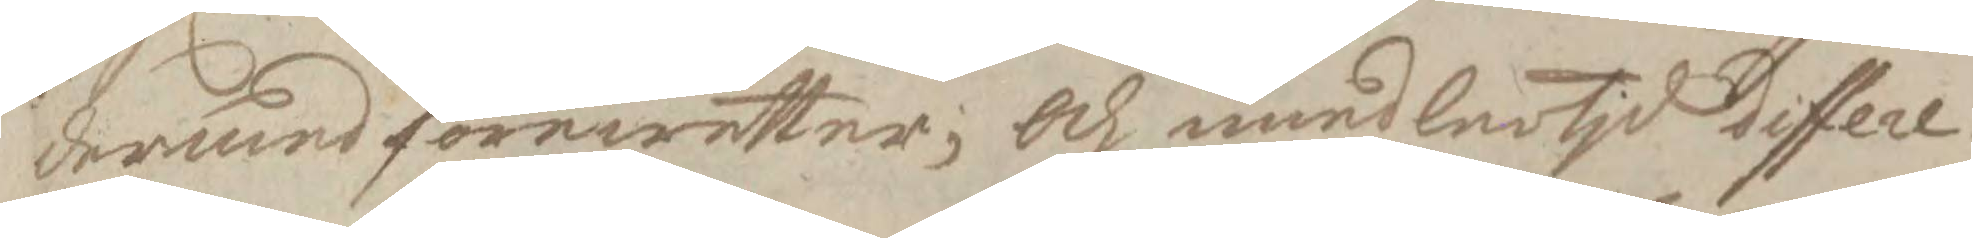dermed förewetter, Och imedlertid differe¬
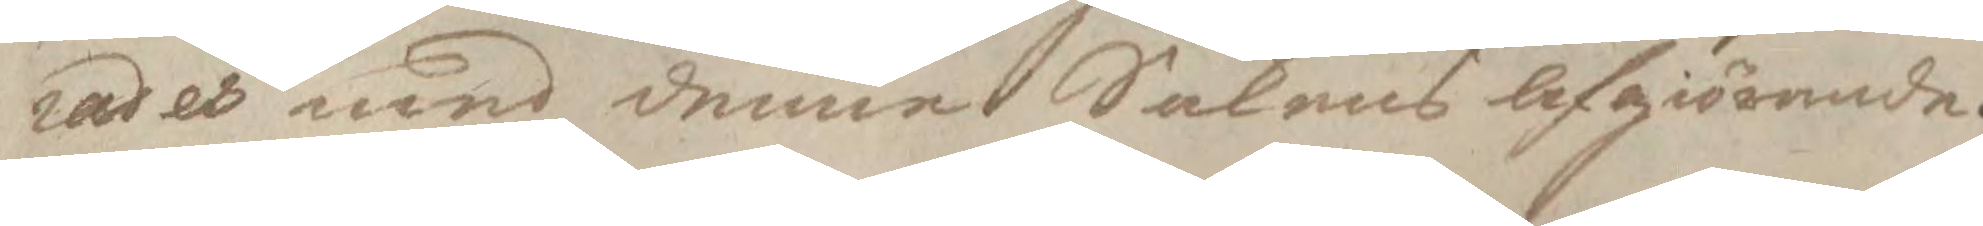rades med dermed Sakens afgiörande.
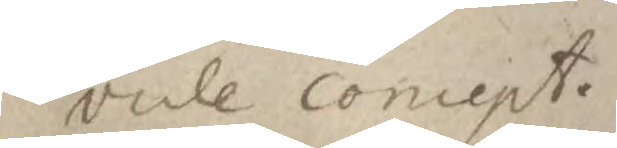vide concept.
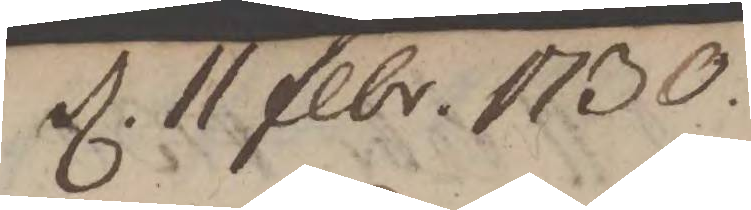d. 11 febr. 1730.
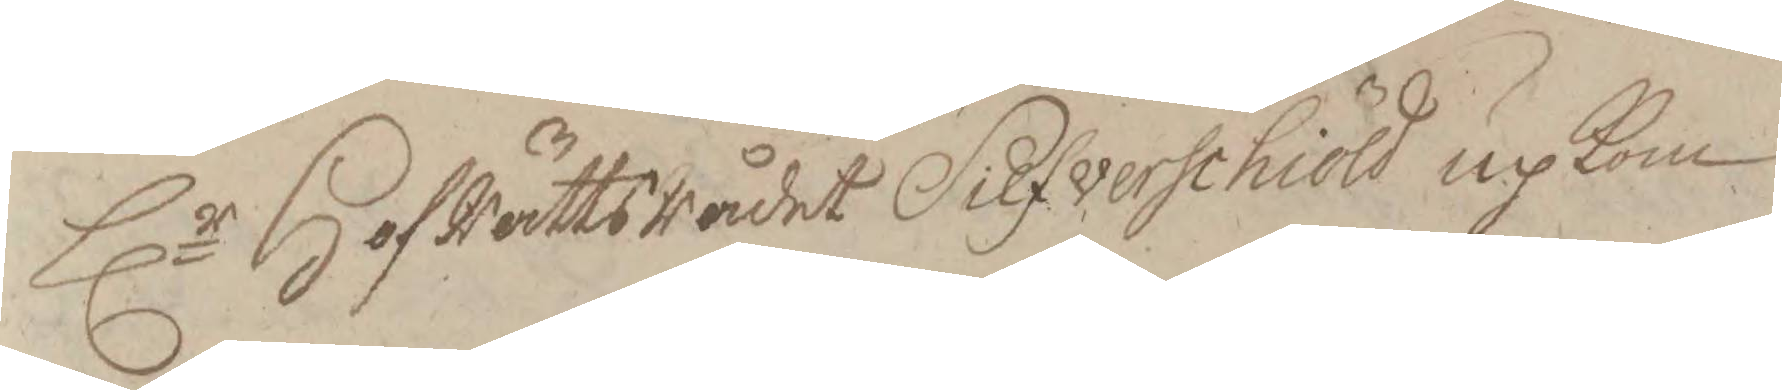Hlr HofRättsRådet Silfverschiöld up Kom
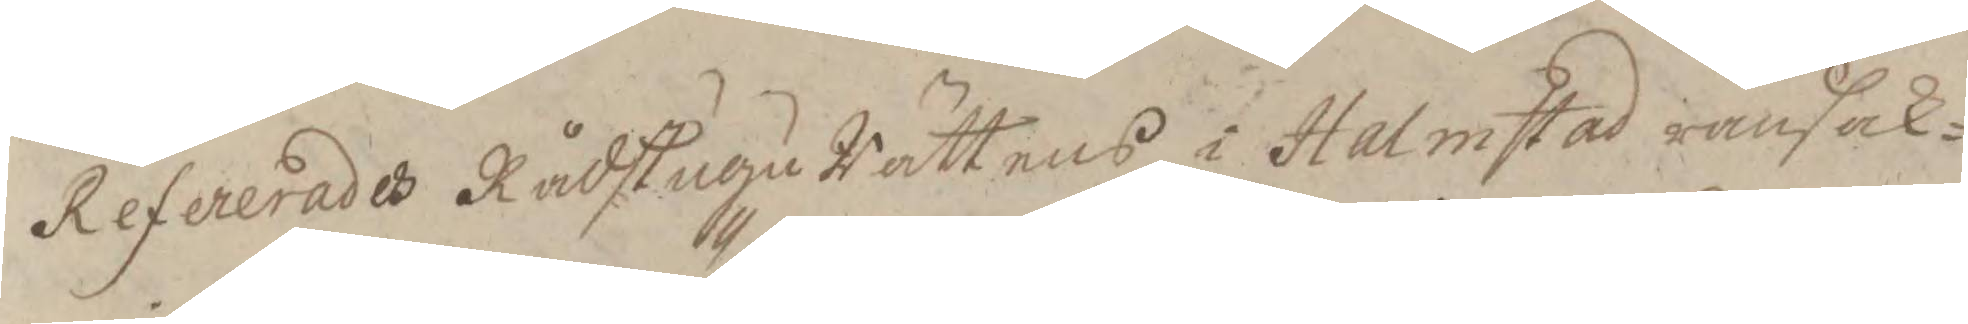Refererades Rådstugu Rättens i Halmstad ransak¬
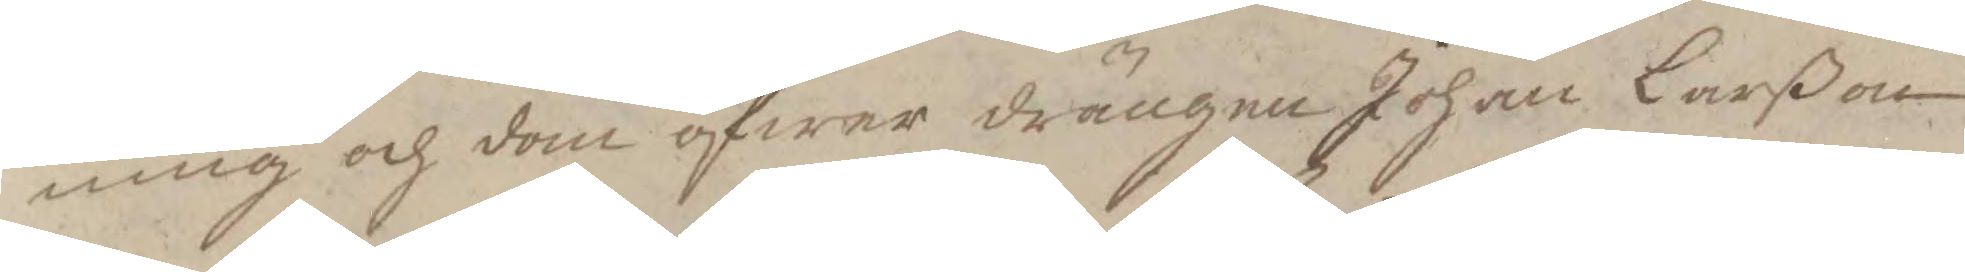ning och dom öfwer drängen Johan Larßon
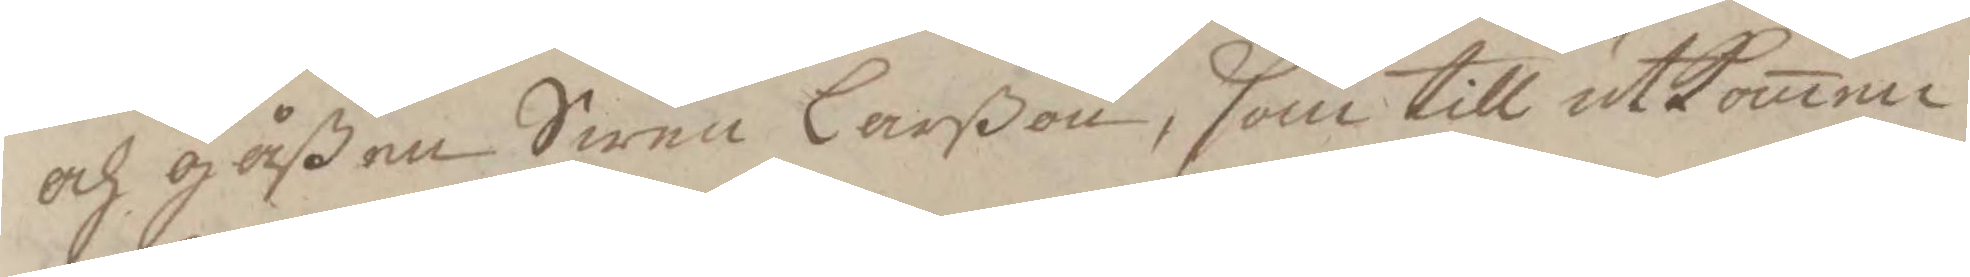och gåßen Swen Larßon, som till utkomne
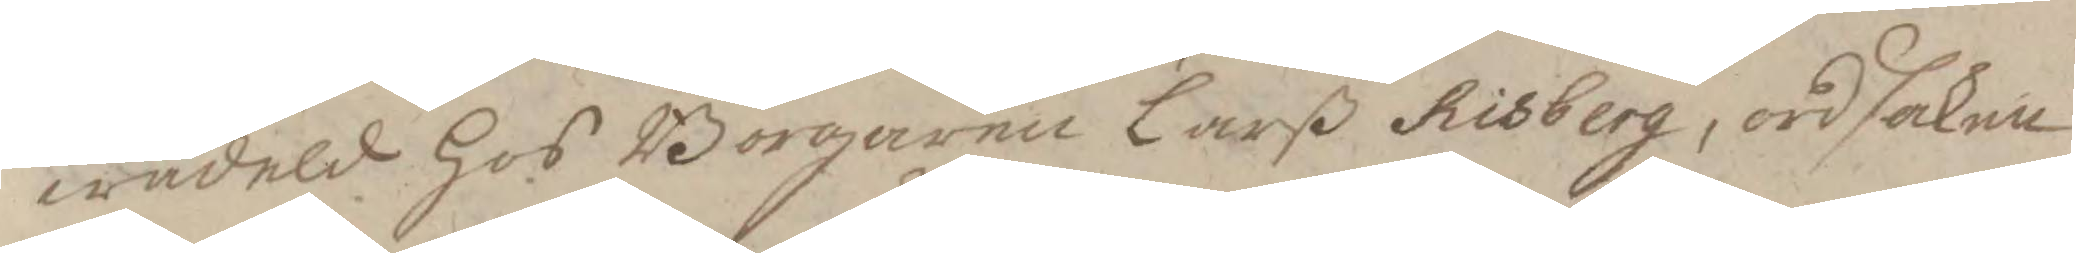wådeld Hos Borgaren larß Risberg, ordsaken
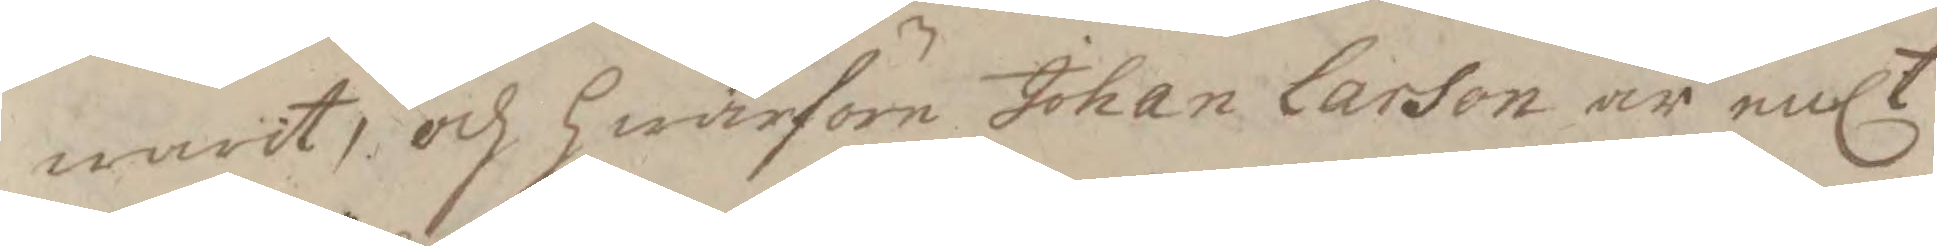warit, och hwarföre Johan Larson är enlt
